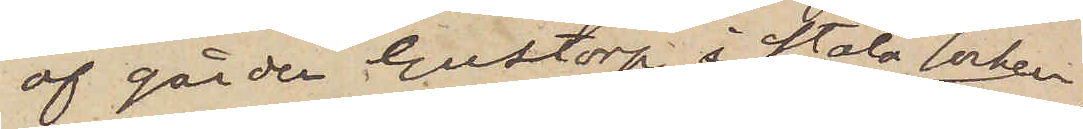af gården Gustorp i Stala socken,
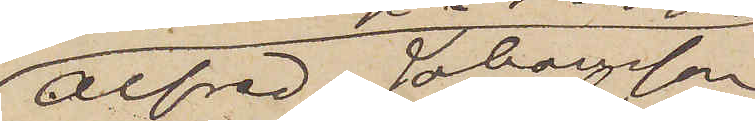Alfred Johansson,
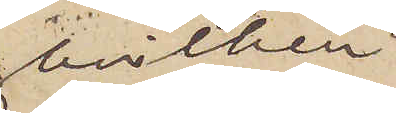hvilken
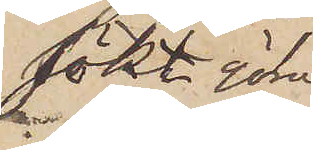sökt göra
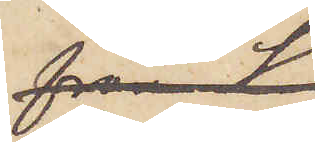troligt,
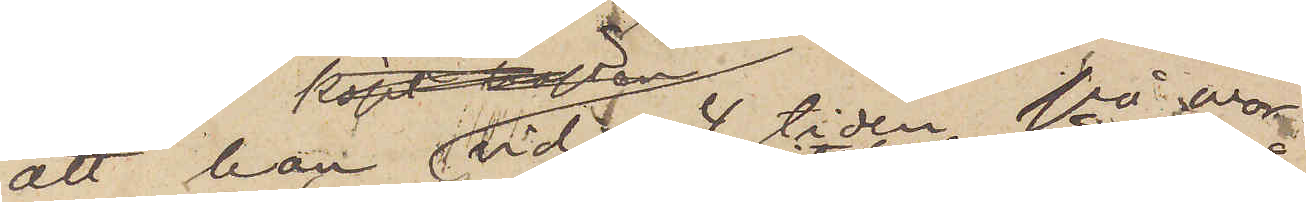att han vid 4 tiden på mor¬
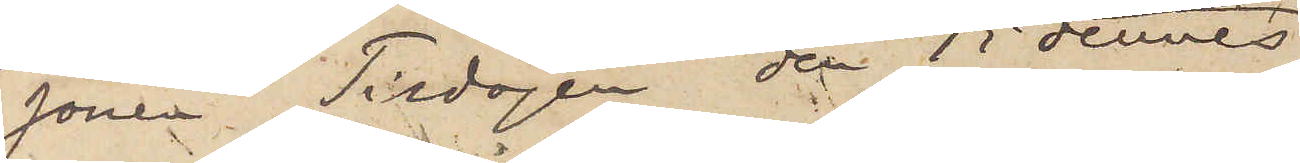gonen Tisdagen den 15 dennes
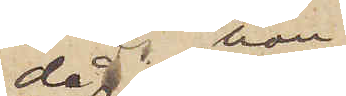då han
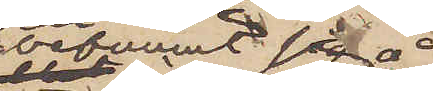befunnit sig å
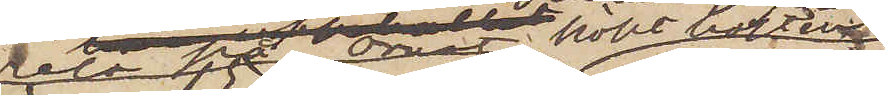resa på Orust köpt hästen
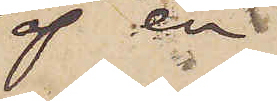af en
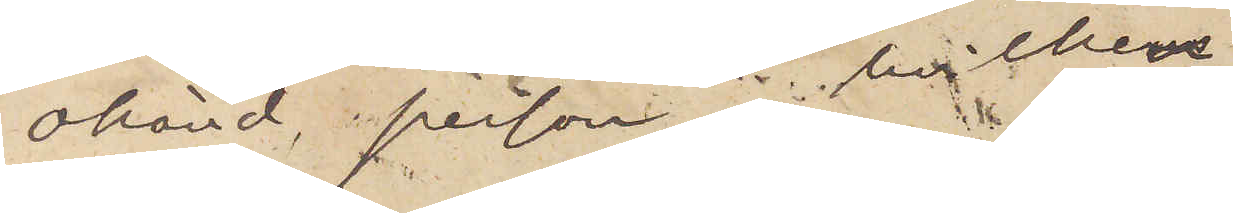okänd person, hvilken
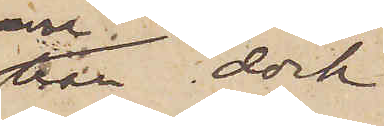han dock
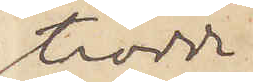trodde
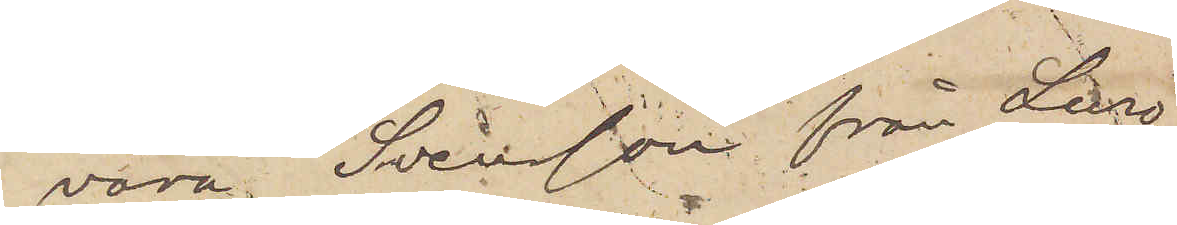vara Svensson från Lurö
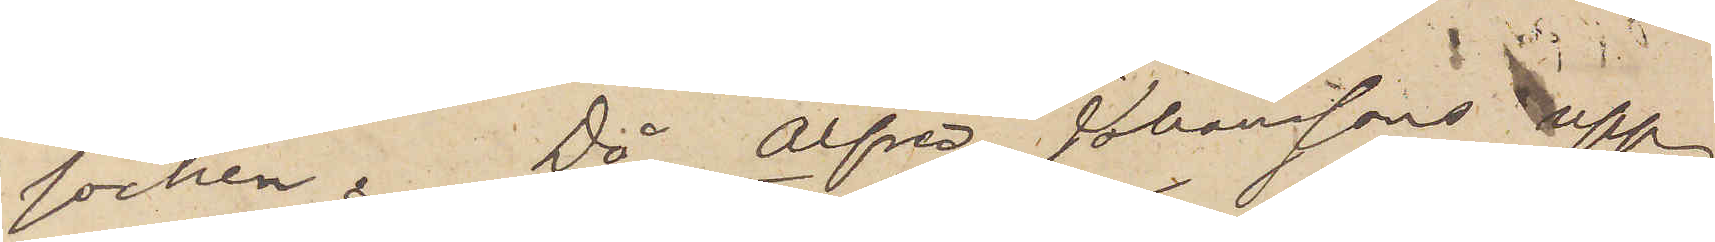socken. Då Alfred Johanssons upp¬
